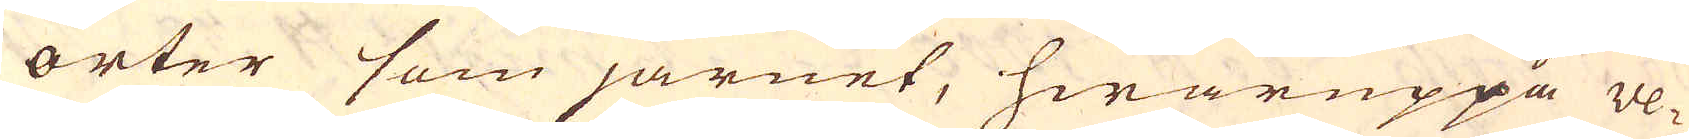orter som järnet, hwaruppå ve-
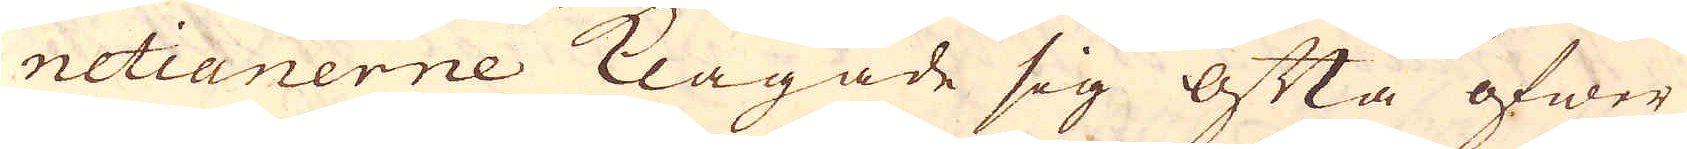netianerne klagade sig ofta öfwer
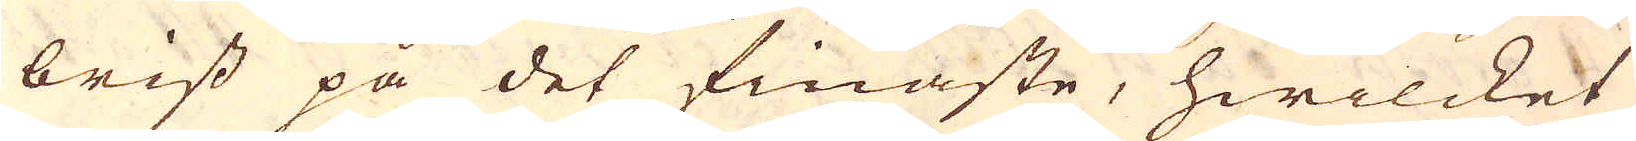brist på det finaste, hwilcket
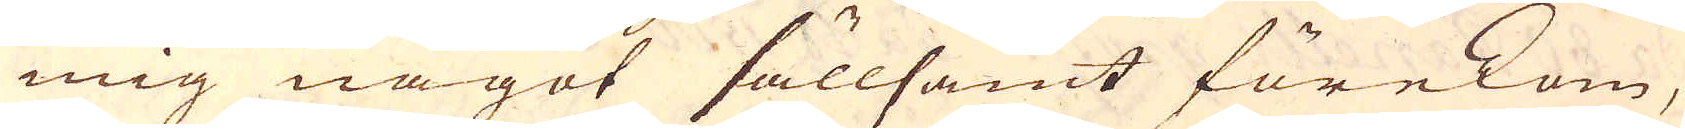mig något sällsamt förekom,
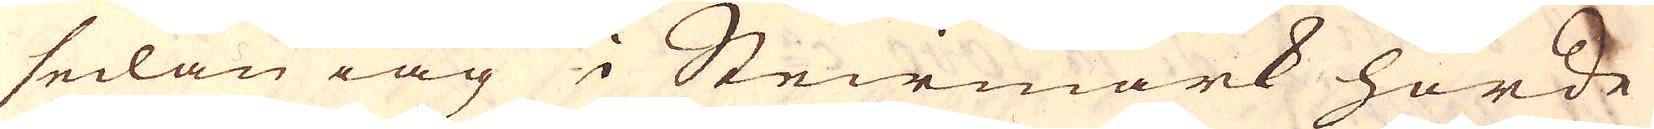sedan iag i Steirmark hörde
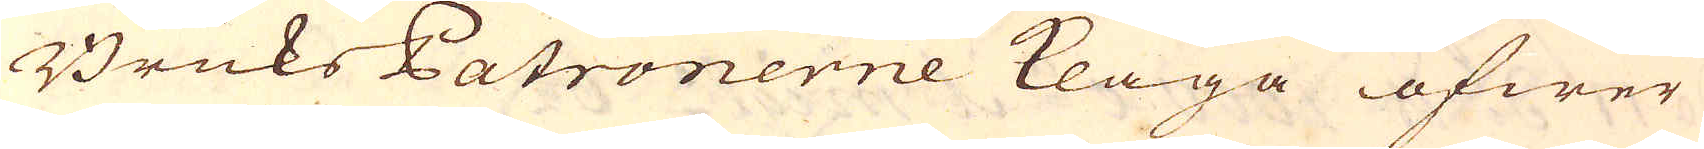Bruks Patronerne klaga öfwer
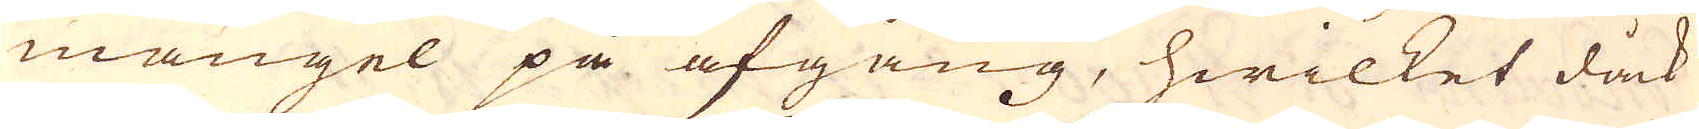mangel på afgång, hwilket dåck
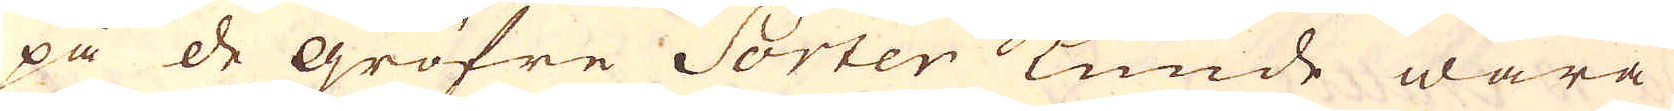på de gröfre Sorter kunde wara
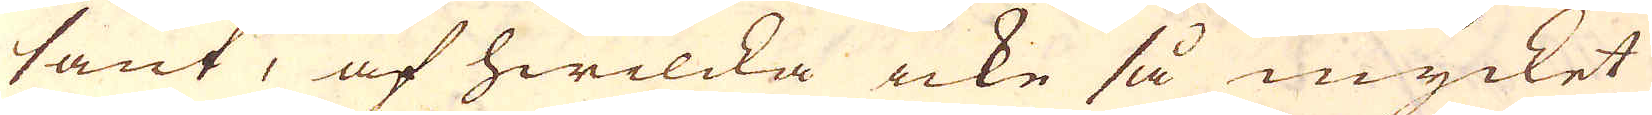sant, af hwilcka icke så mycket
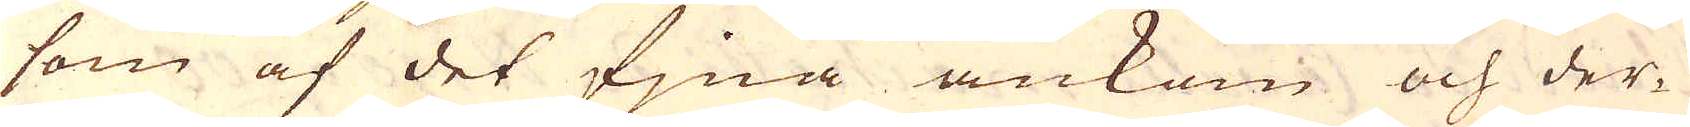som af det fjna ankom och der-
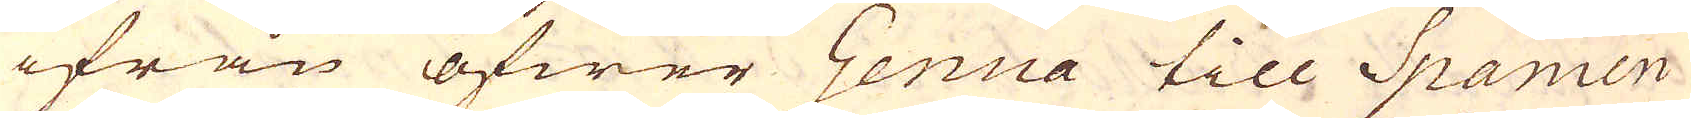ifrån öfwer Genua till Spanien
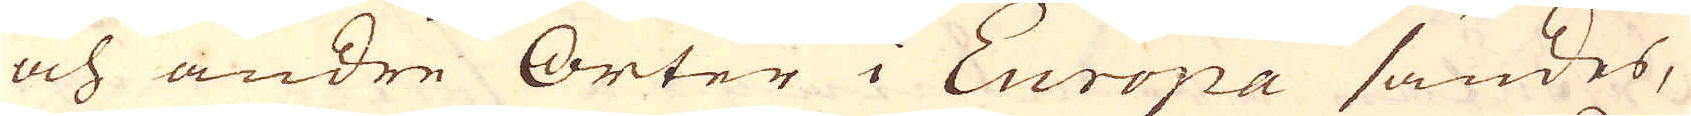och andre Orter i Europa sändes,
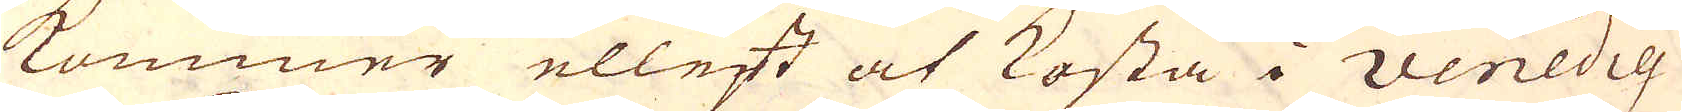kommer ellest at kosta i Venedig
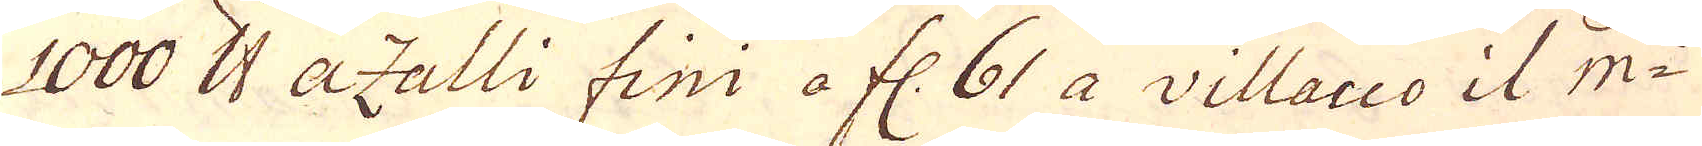1000 skålpund azalli fini a fl. 61 a villacco il m:e
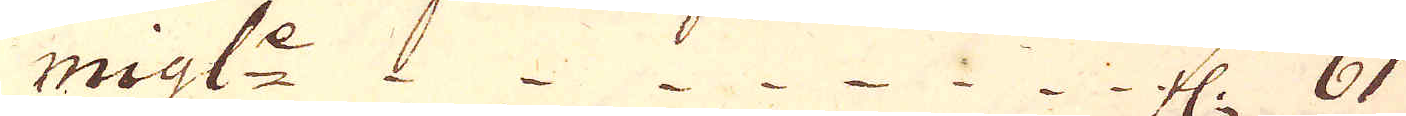migl:e fl. 61
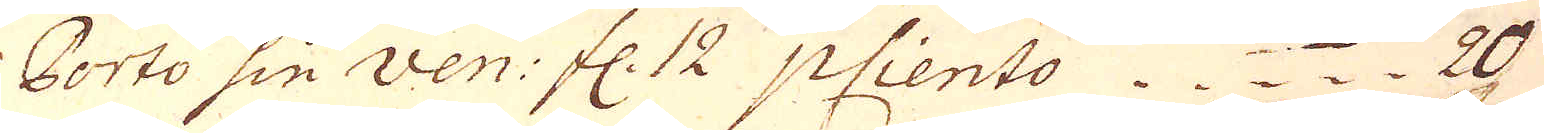Porto sin ven: fl. 12 p Ciento. 20
